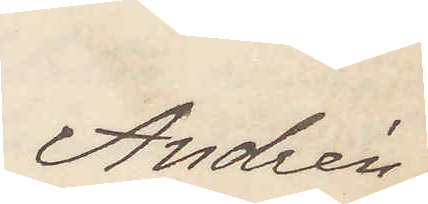Andrén
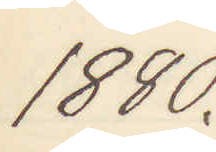1880.
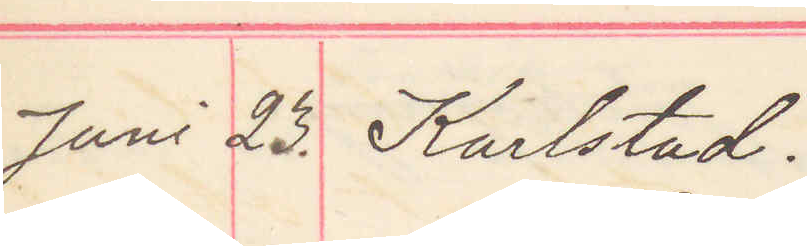Juni 23. Karlstad.
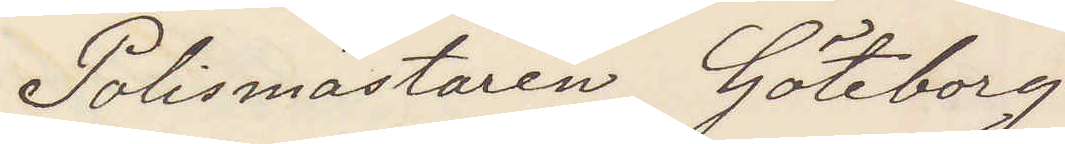Polismästaren Göteborg
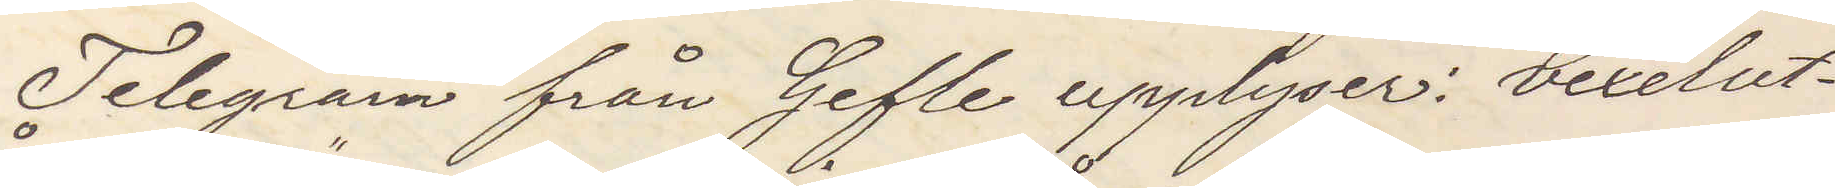Telegram från Gefle upplyser: vexelut¬
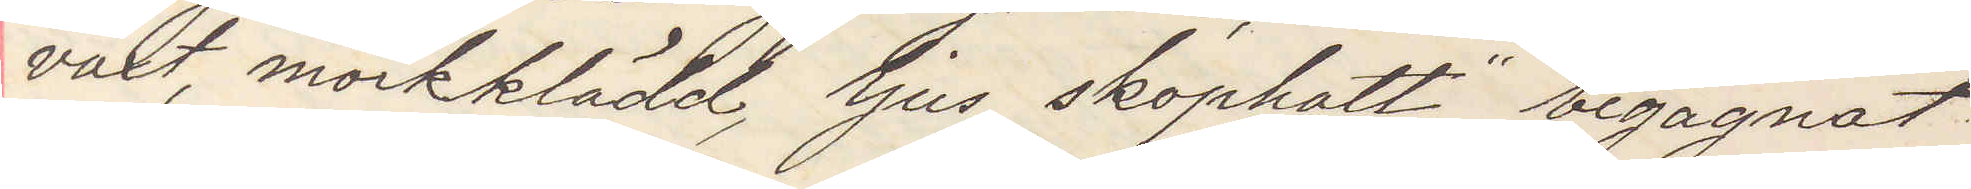växt, mörkklädd, ljus skophatt, begagnat
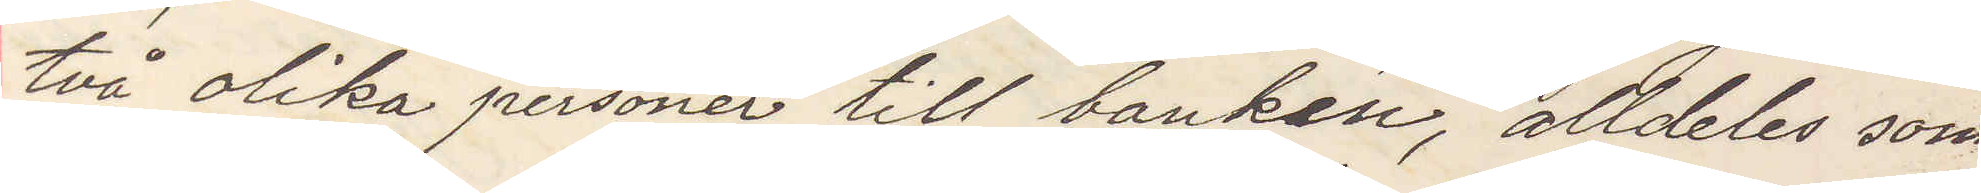två olika personer till banken, alldeles som
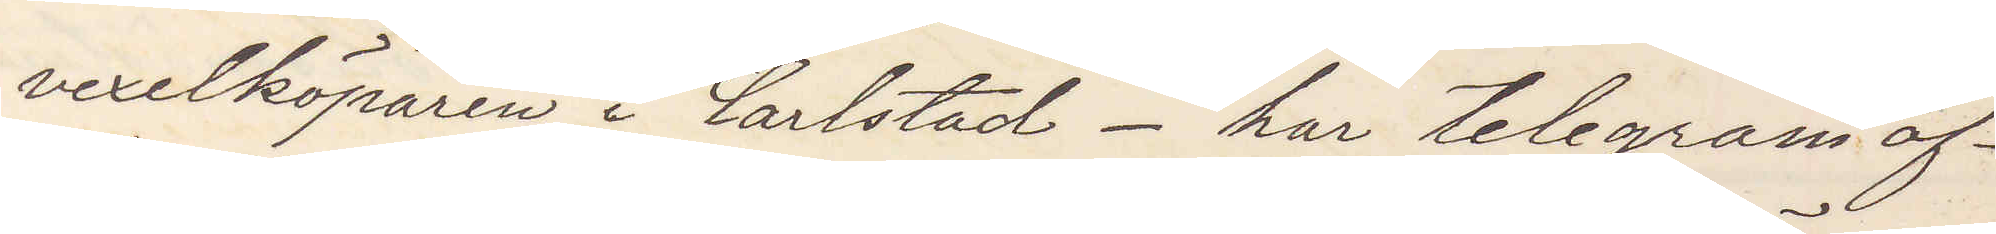vexelköparen i Carlstad – har telegram af¬
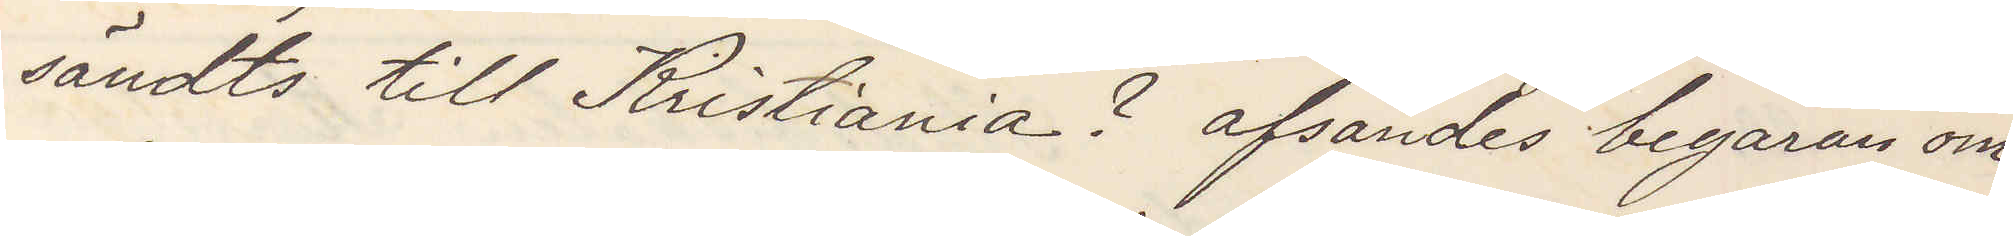sändts till Kristiania? afsändes begäran om
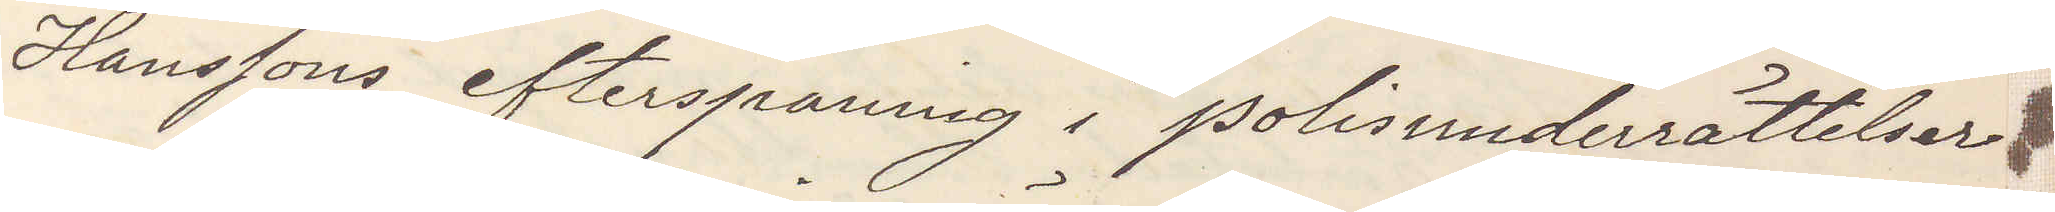Hanssons efterspaning i poliunderrättelser
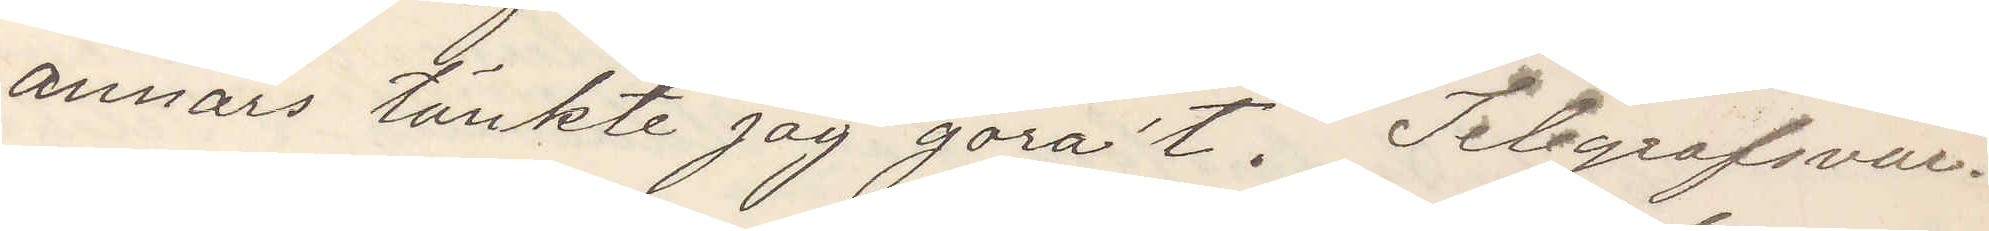annars tänkte jag göra´t. Telegrafsvar.
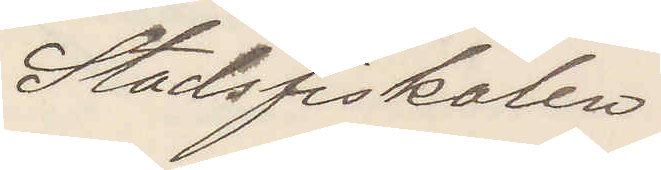Stadsfiskalen.
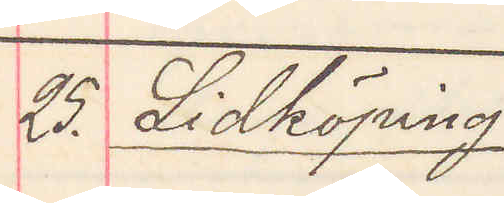25. Lidköping
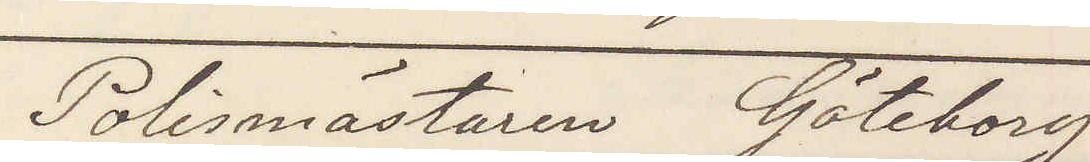Polismästaren Göteborg
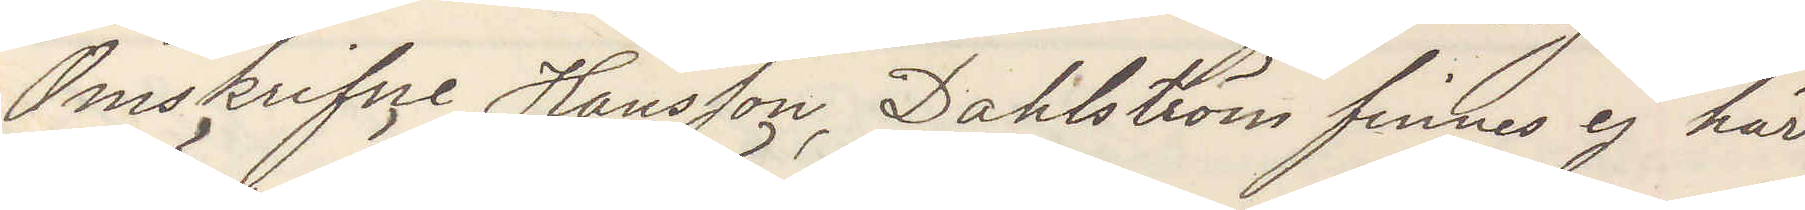Omskrifne Hansson Dahlström finnes ej här
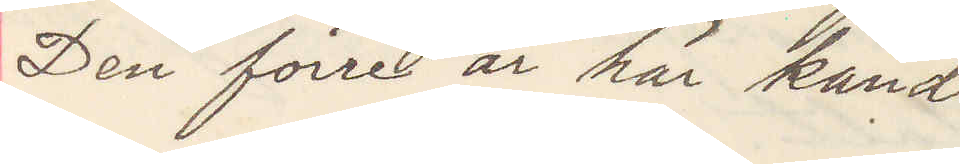Den förre är här känd
